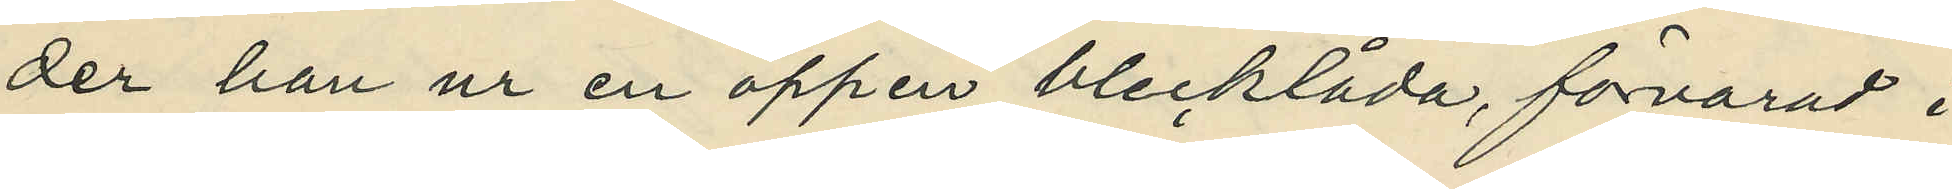der han ur en öppen blecklåda, förvarad i
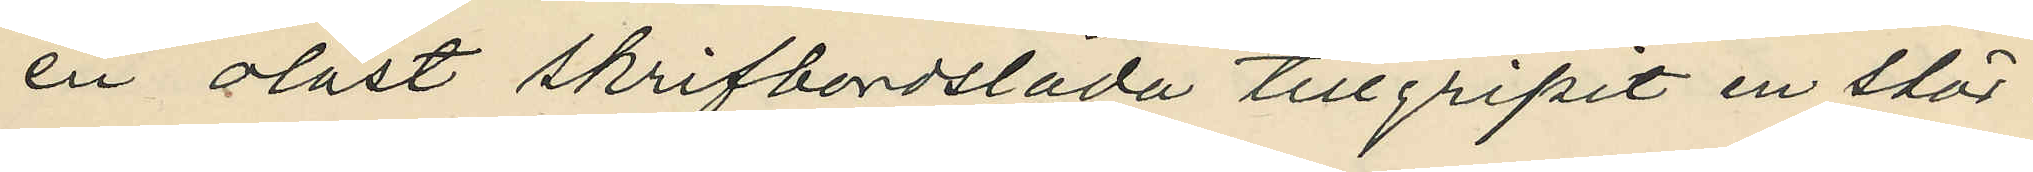en olåst skrifbordslåda tillgripit en stör¬
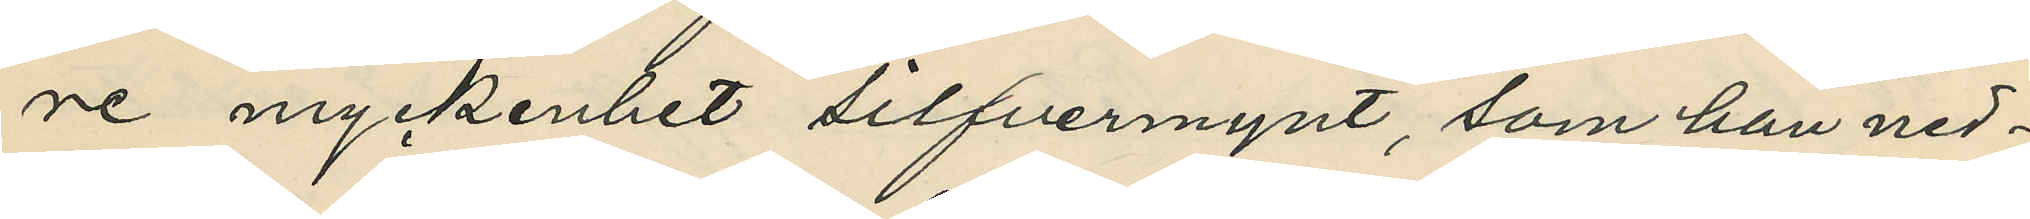re myckenhet silfvermynt, som han ned¬
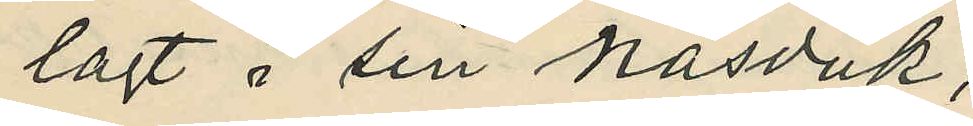lagt i sin näsduk;
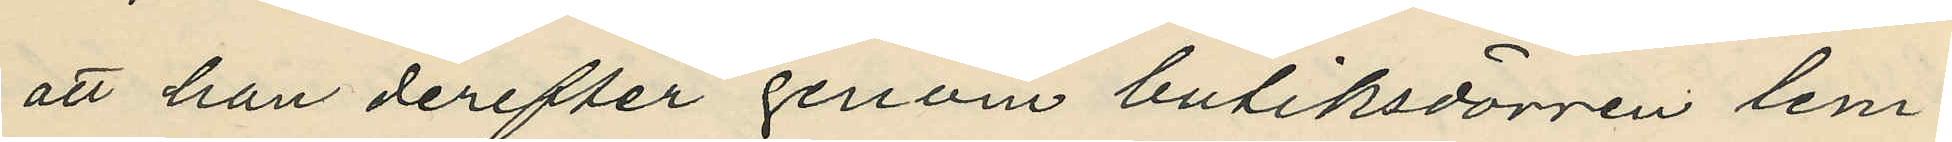att han derefter genom butiksdörren lem¬
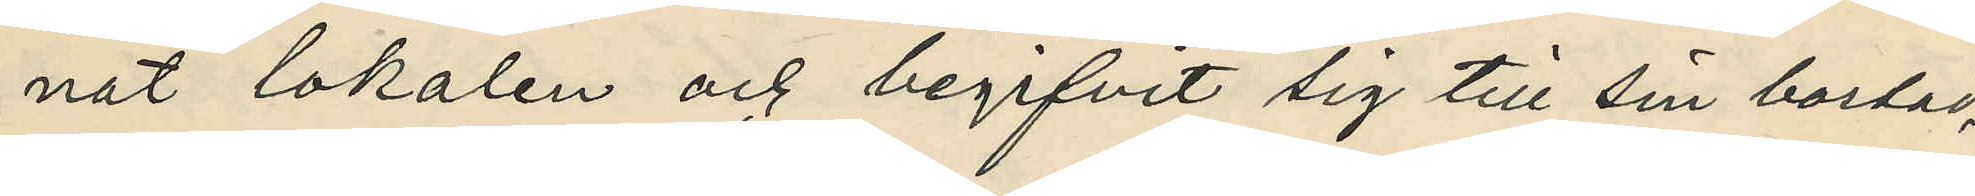nat lokalen och begifvit sig till sin bostad,
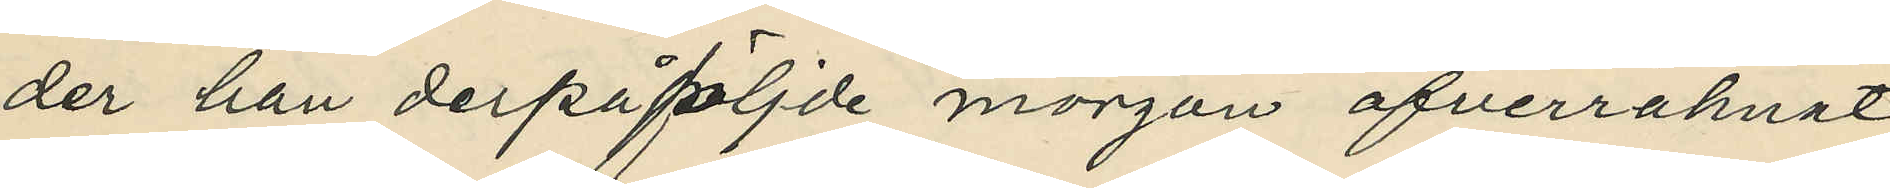der han derpåföljde morgon öfverräknat
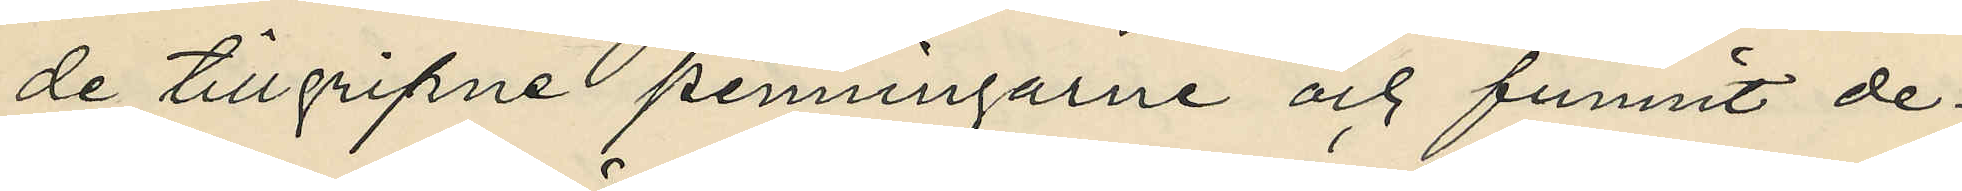de tillgripne penningarne och funnit de¬
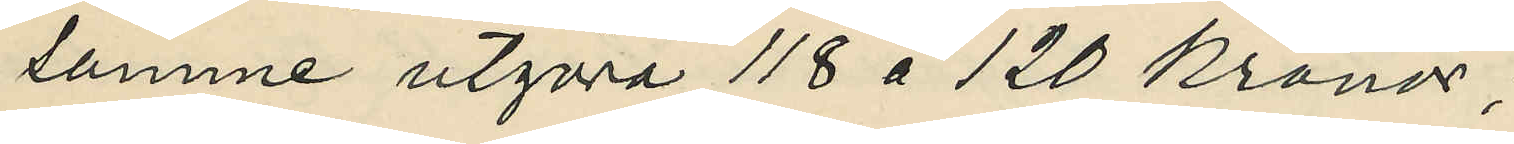samme utgöra 118 à 120 kronor;
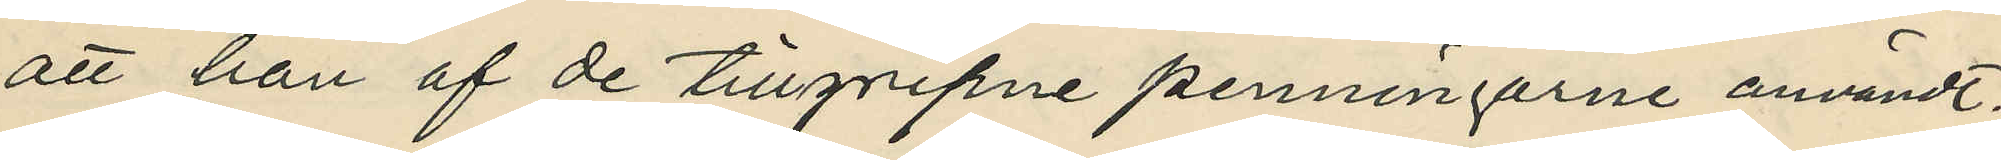att han af de tillgripne penningarne användt;
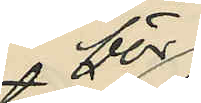för
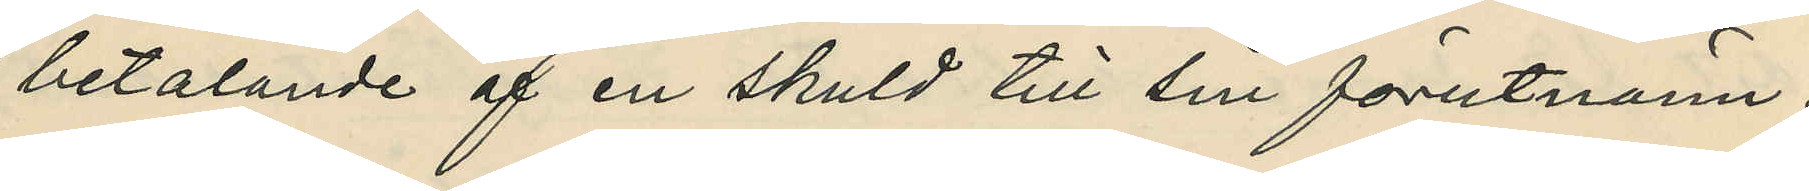betalande af en skuld till sin förutnäme¬
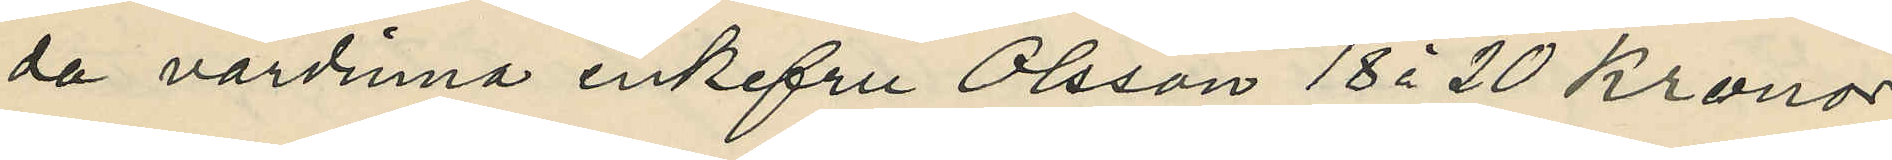da värdinna enkefru Olsson 18 à 20 Kronor
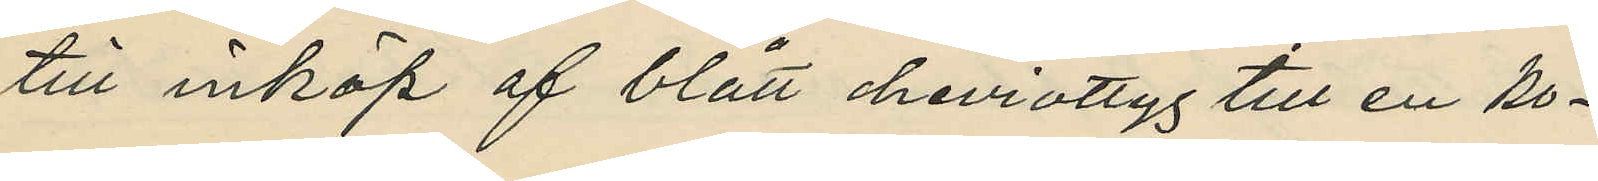till inköp af blått cheviottyg till en ko¬
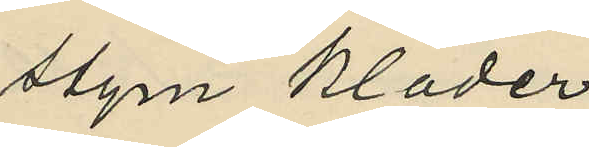stym kläder
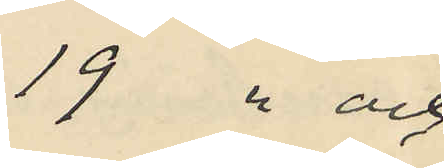19 " och
